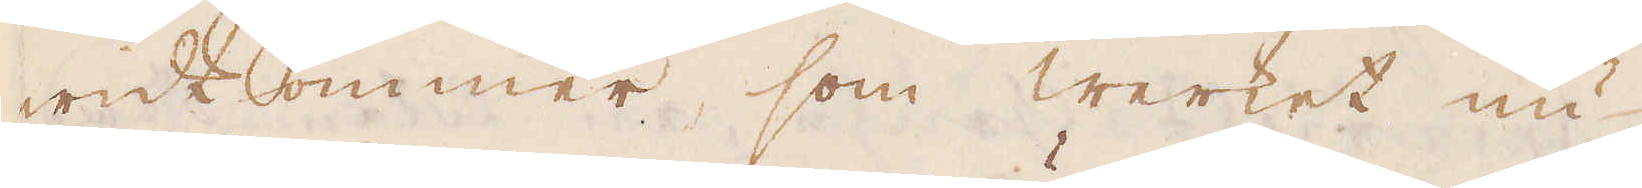widkommer, som werket nu
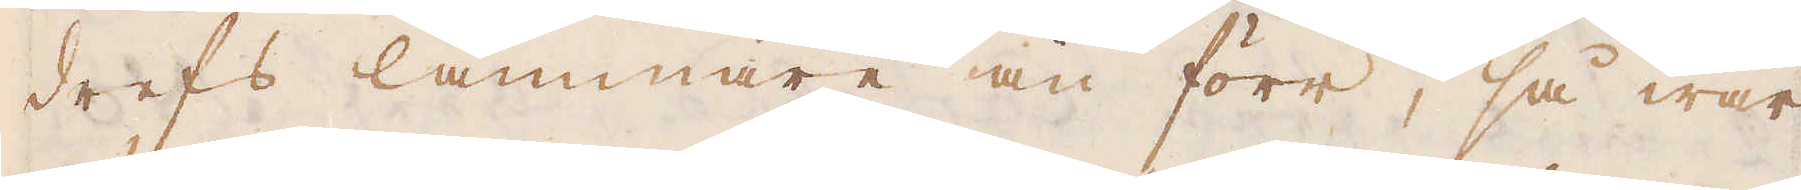drefs lammare än förr, så war
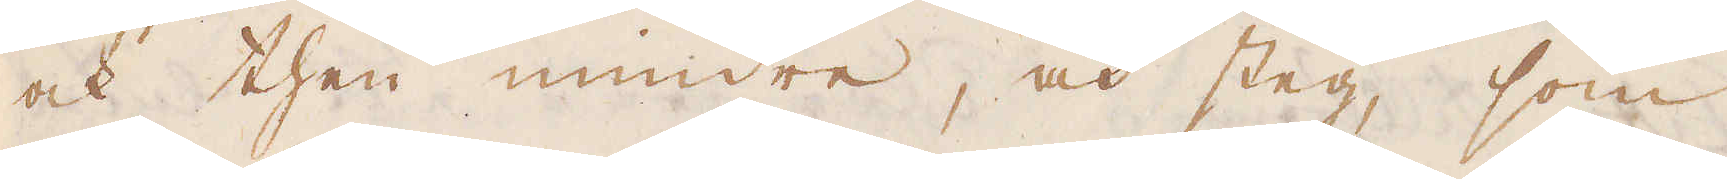ock then mindre, och steg, som
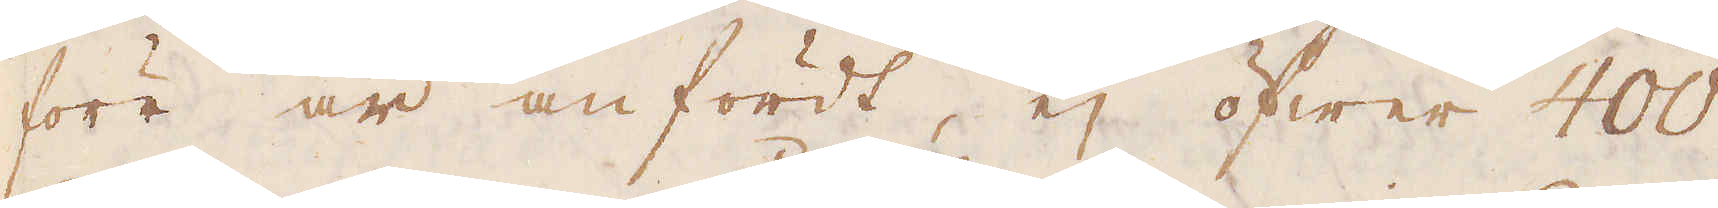förr är anfördt, ej öfwer 400
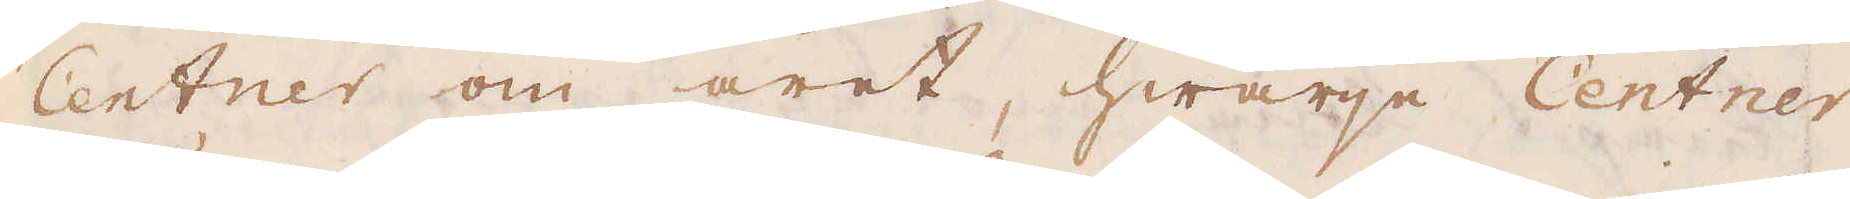Centner om året, hwarje Centner
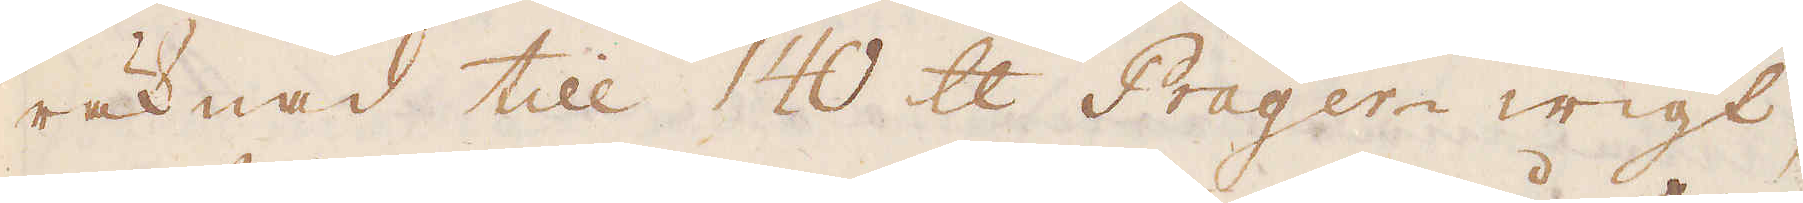räknad till 140 skålpund Prager-wigt,
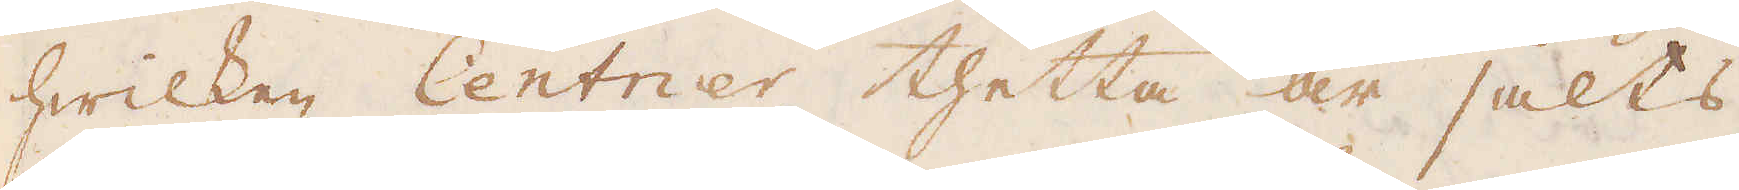hwilken Centner thetta år sålts
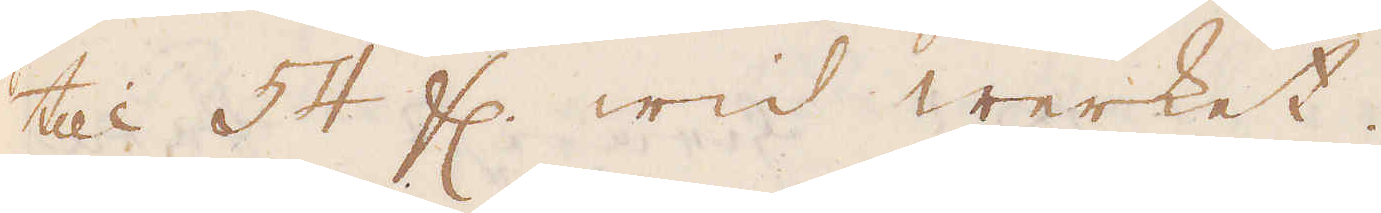till 54 fl. wid werket.
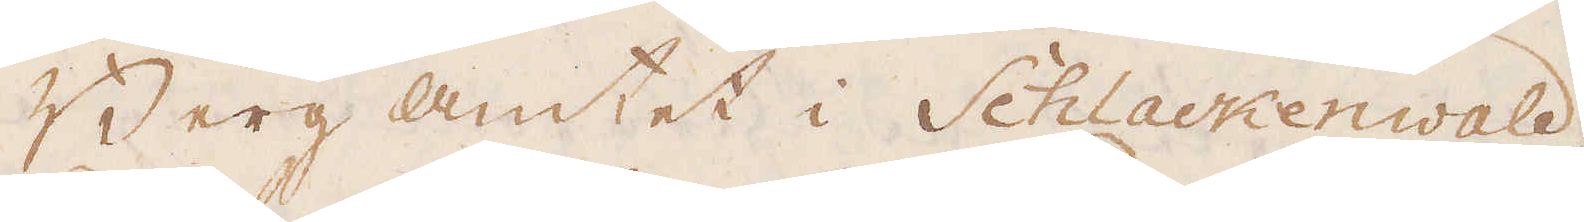Berg amtet i Schlackenwald
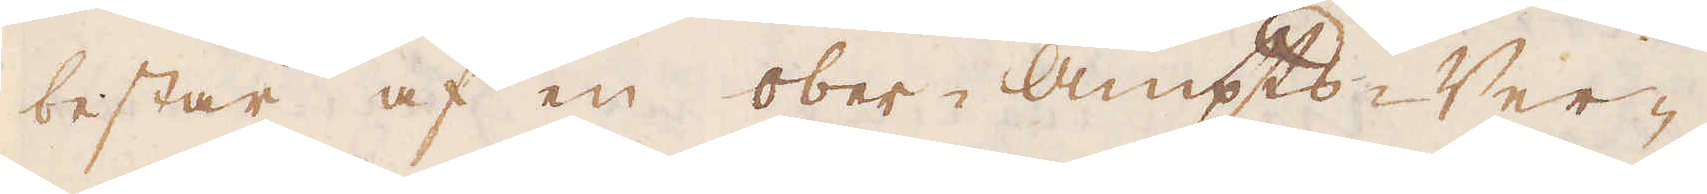består af en ober-Ampts-Ver-
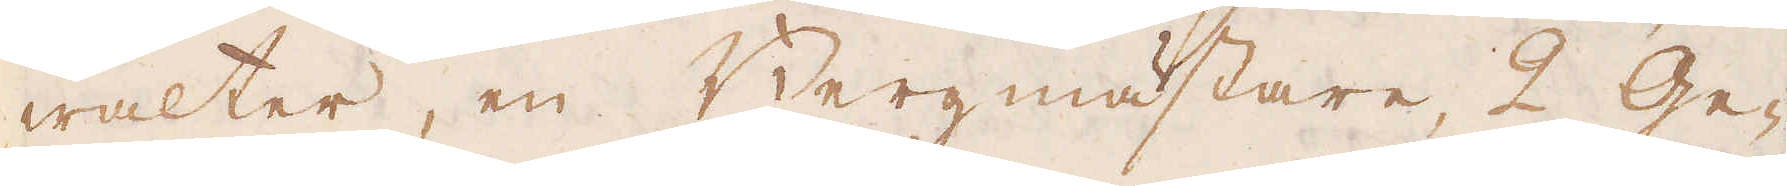walter, en Bergmästare, 2 Ge-
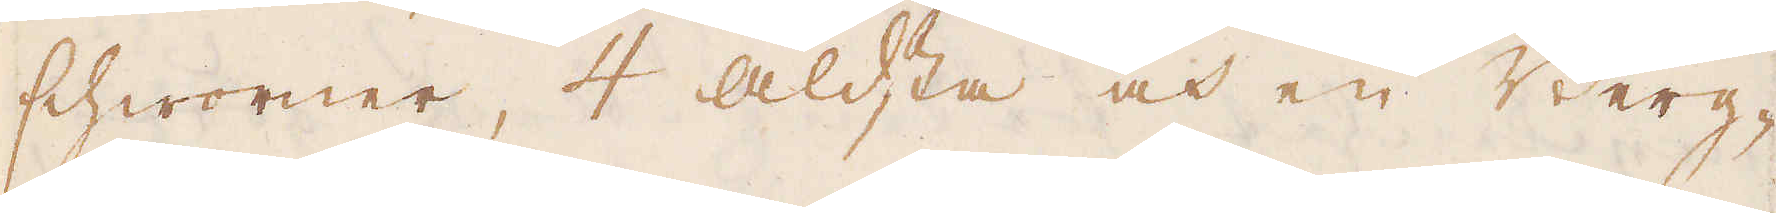schworner, 4 äldsta och en Berg-
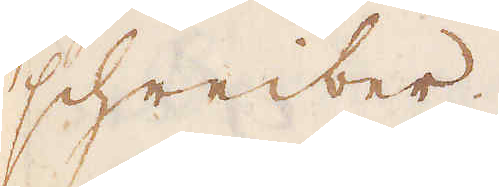schreiber.
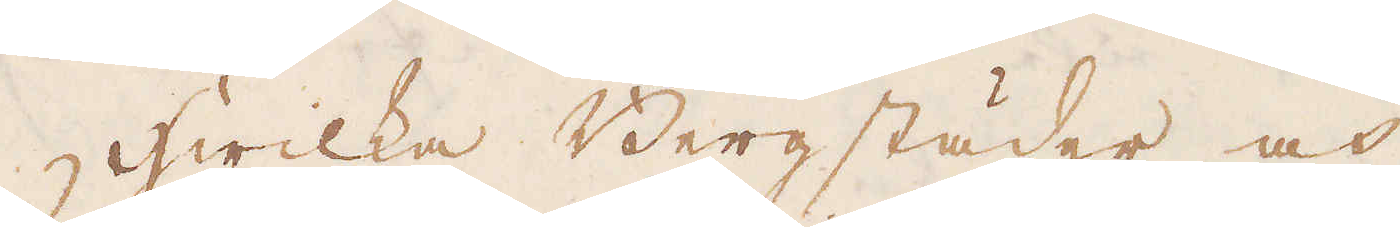Hwilka Bergstäder och
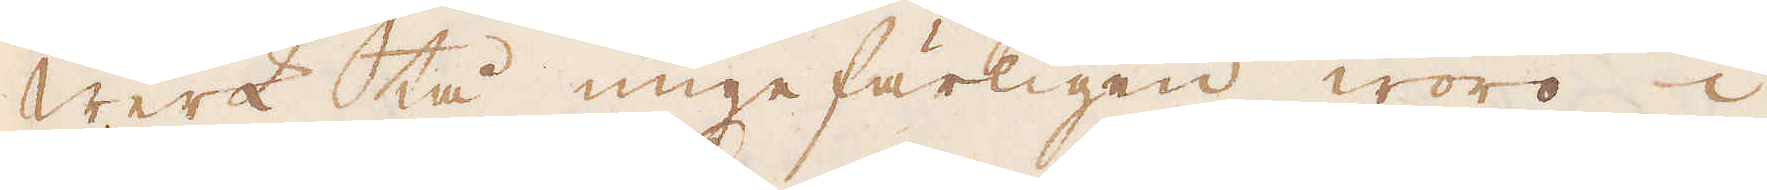Werk tå ungefärligen woro i
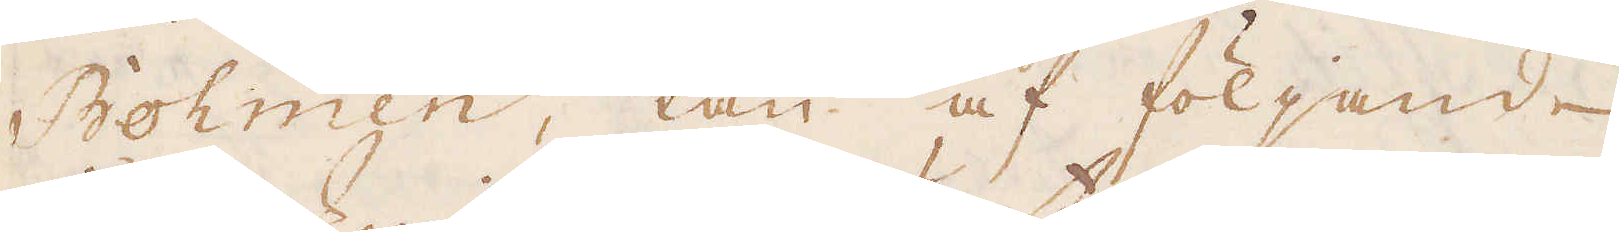Böhmen, kan af följande
